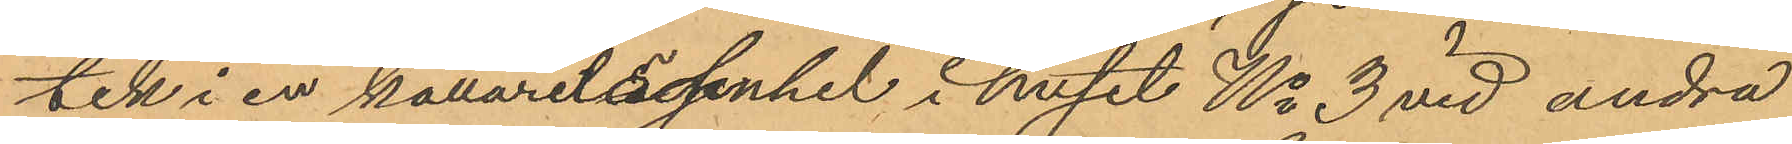tik i en källarelägenhet i huset No 3 vid andra
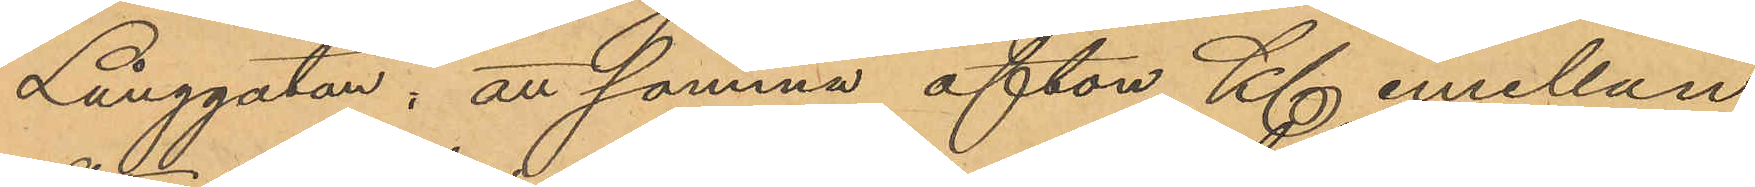Långgatan, att samma afton Kl emellan
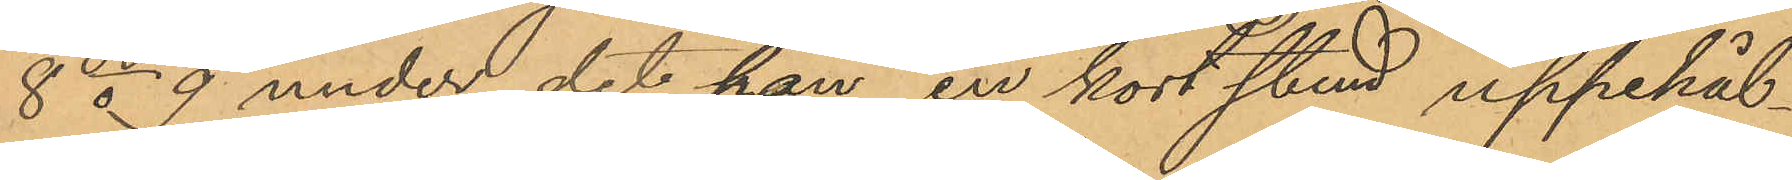8 o 9 under det han en kort stund uppehål¬
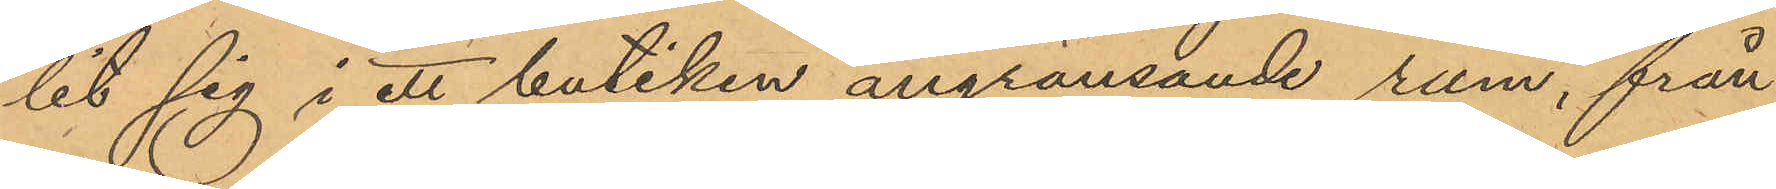lit sig i ett butiken angränsande rum, från
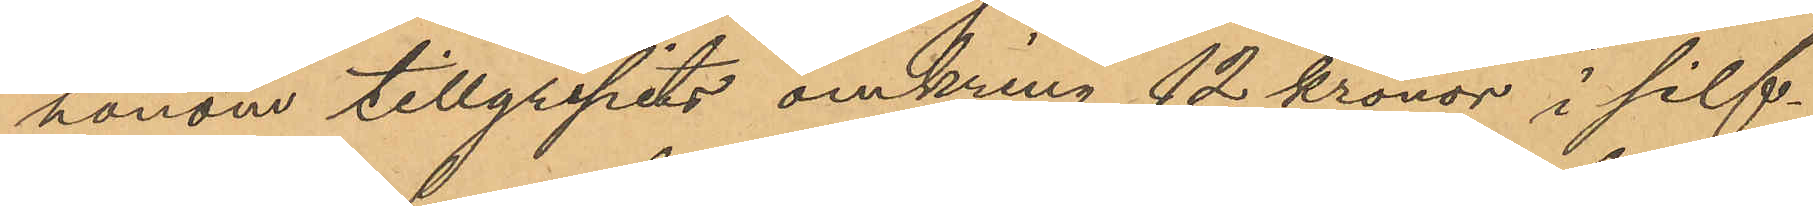honom tillgripits omkring 12 kronor i silf¬
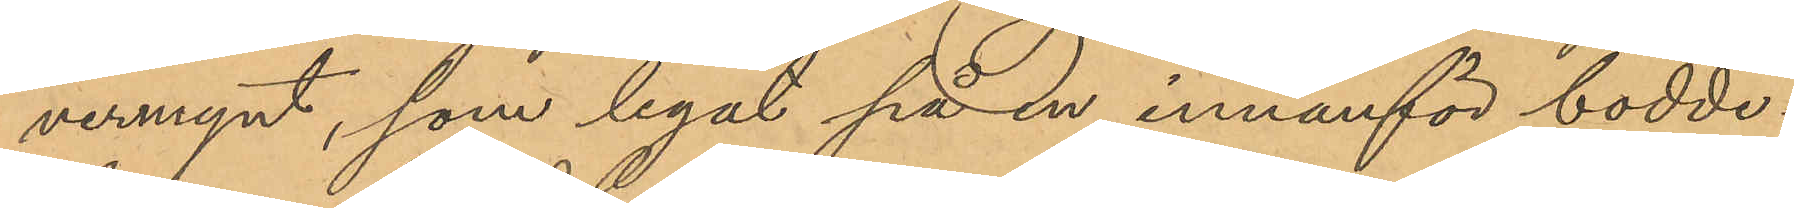vermynt, som legat på en innanför boddi¬
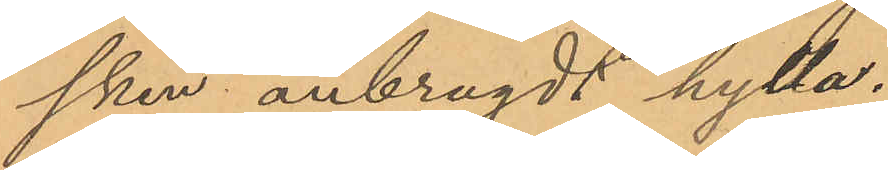sken anbragdt hylla.
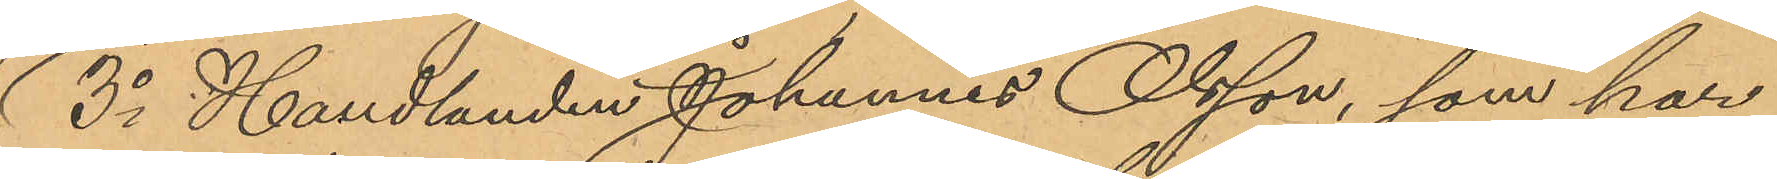3o Handlanden Johannes Olsson, som har
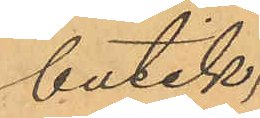butik¬
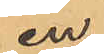en
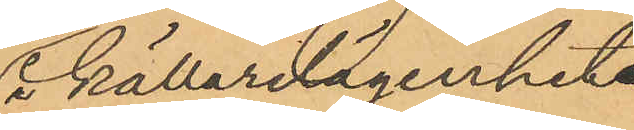i källarelägenhet
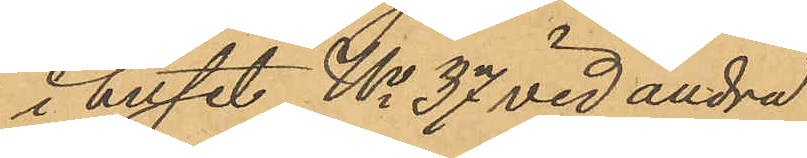i huset No 37 vid andra
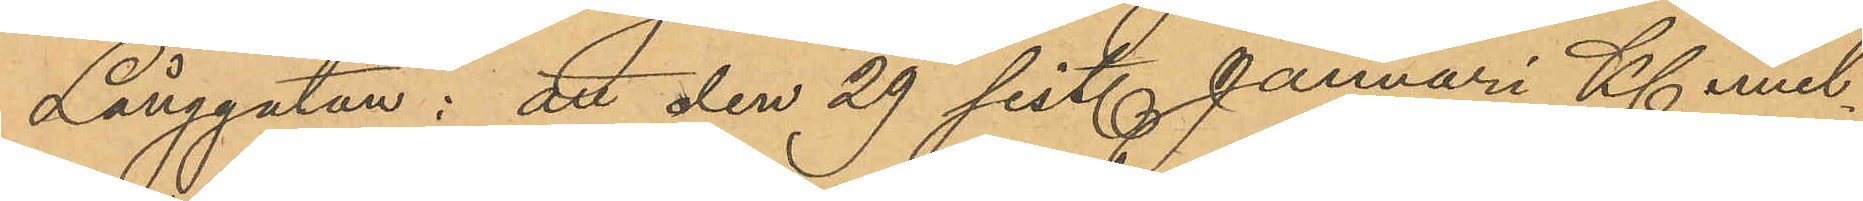Långgatan: att den 29 sist. Januari Kl emel¬
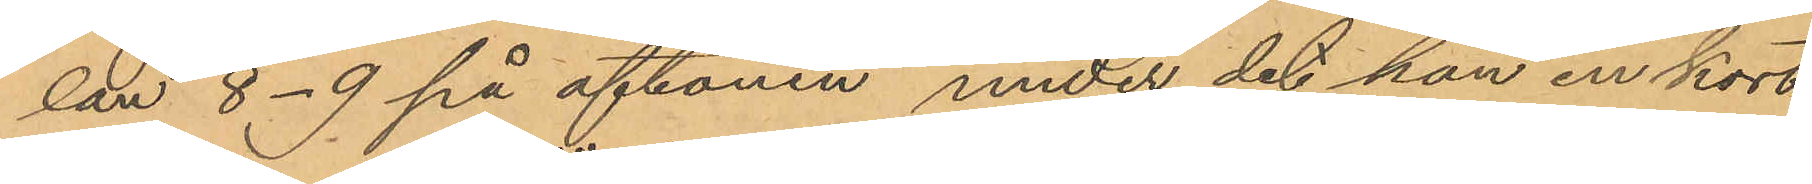lan 8-9 på aftonen, under det han en kort
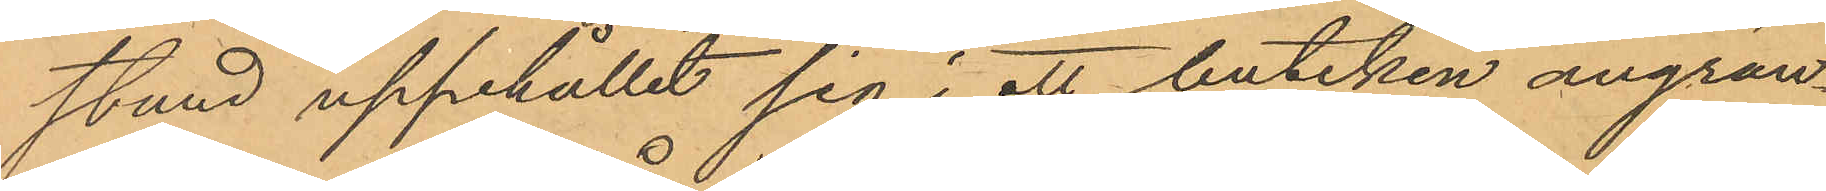stund uppehållit sig i ett butiken angrän¬
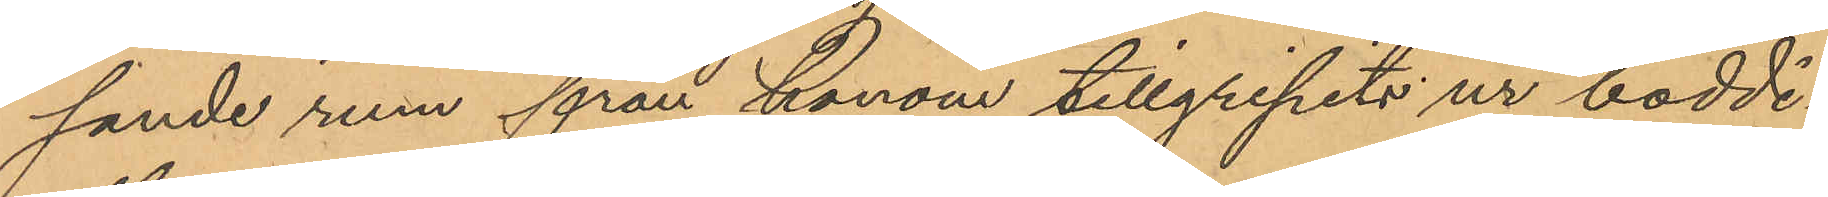sande rum från honom tillgripits ur boddi¬
